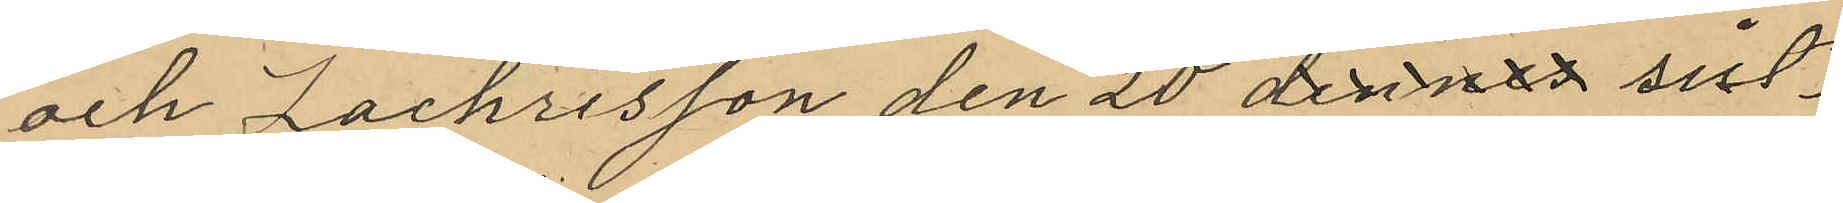och Zachrisson den 20 dennes sist¬
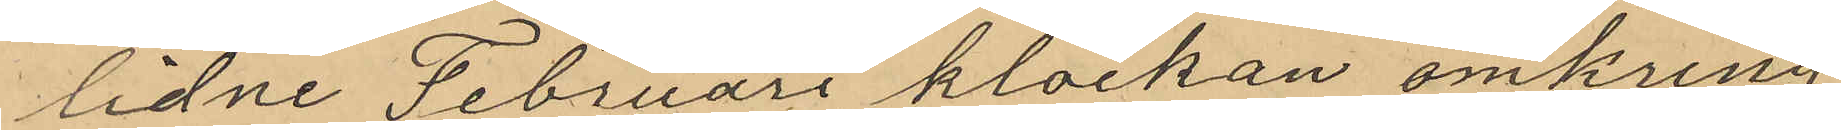lidne Februari klockan omkring
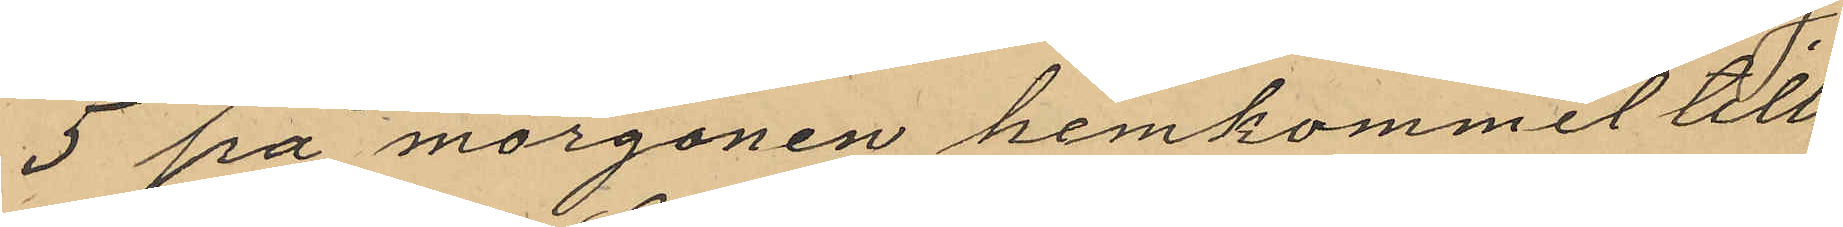5 på morgonen hemkommit till
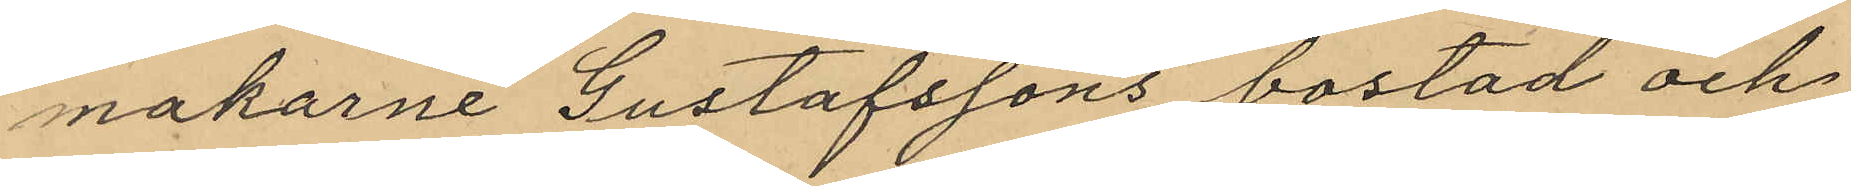makarne Gustafssons bostad och
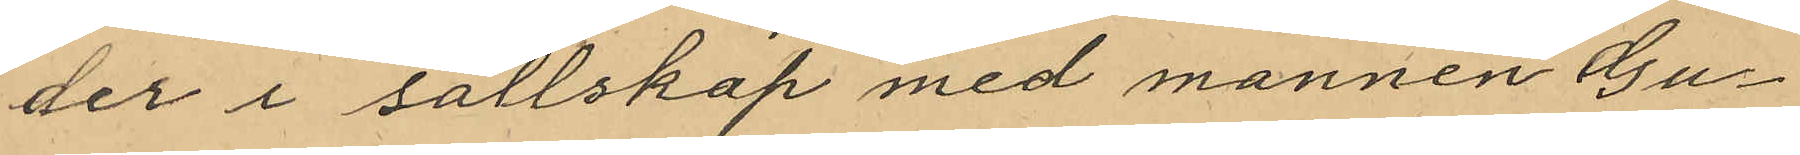der i sällskap med mannen Gu¬
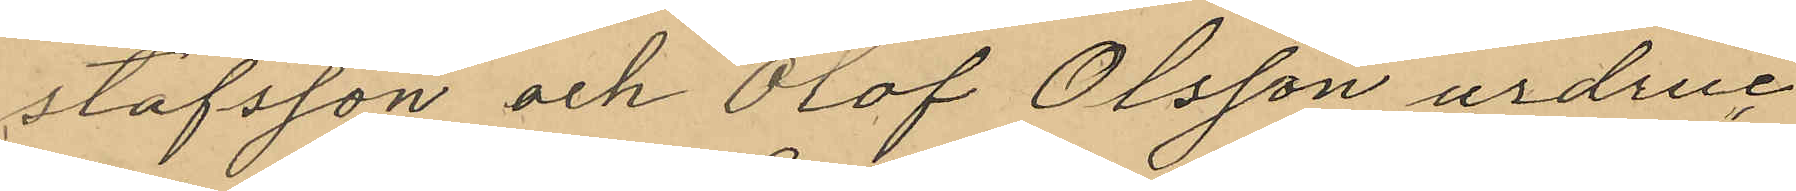stafsson och Olof Olsson urdruc¬
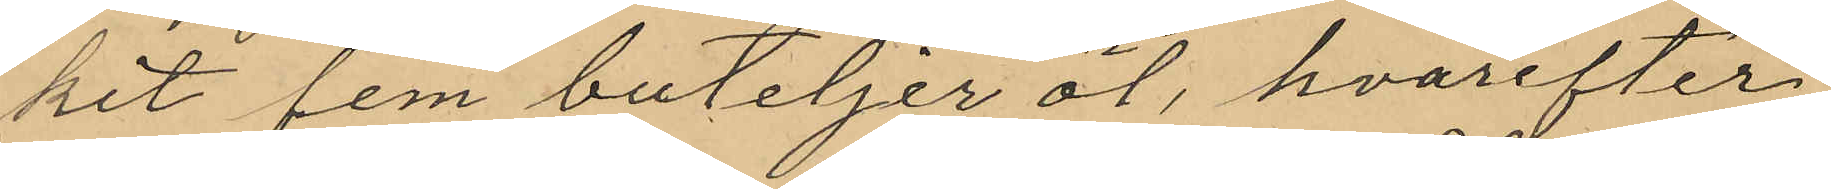kit fem buteljer öl, hvarefter
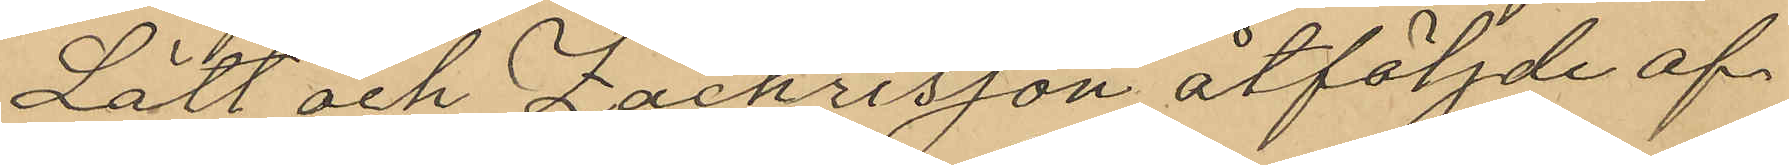Lätt och Zachrisson åtföljde af
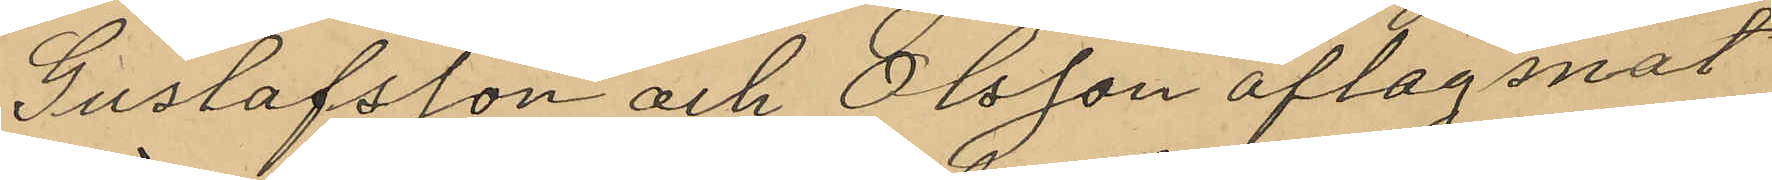Gustafsson och Olsson aflägsnat
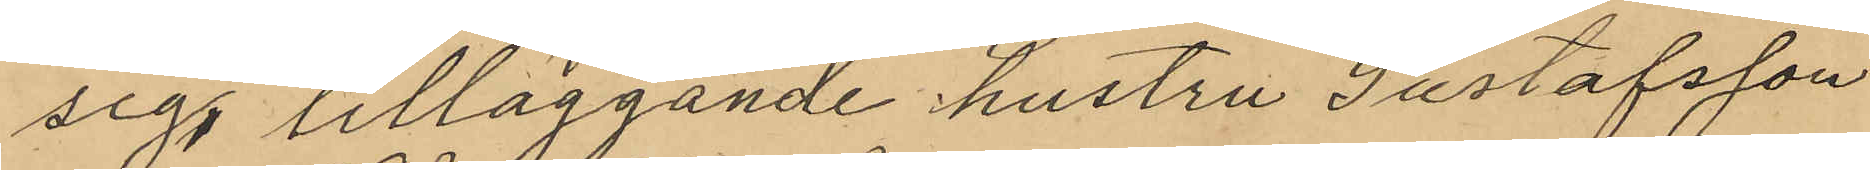sig, tilläggande hustru Gustafsson
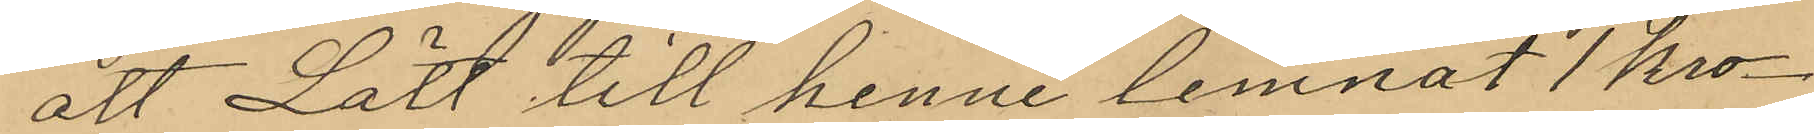att Lätt till henne lemnat 1 kro¬
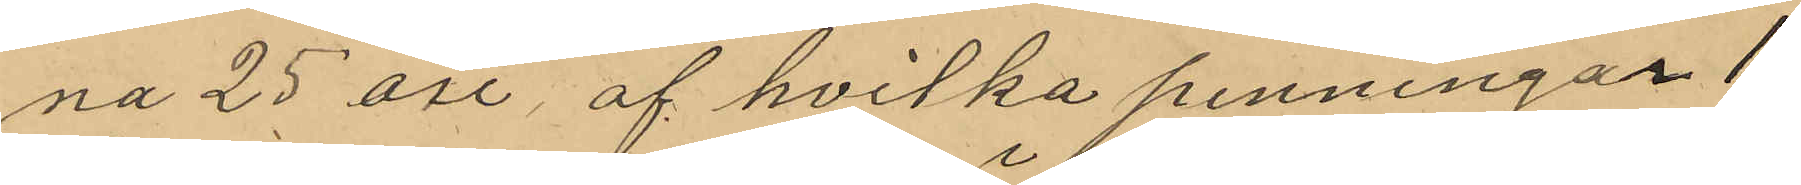na 25 öre, af hvilka penningar 1
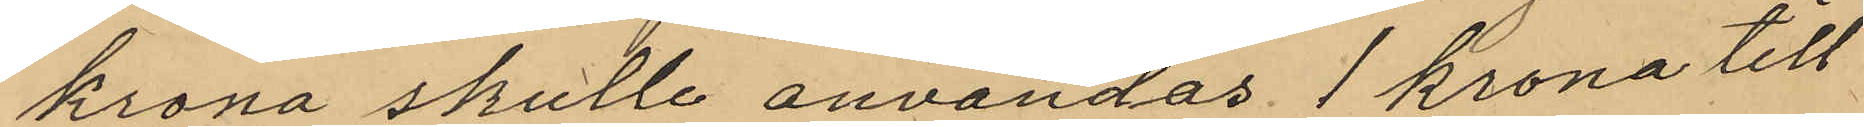krona skulle användas 1 krona till
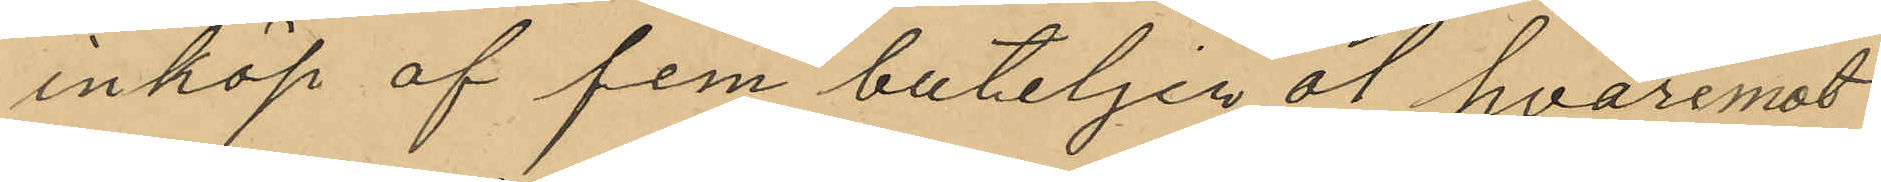inköp af fem buteljen öl hvaremot
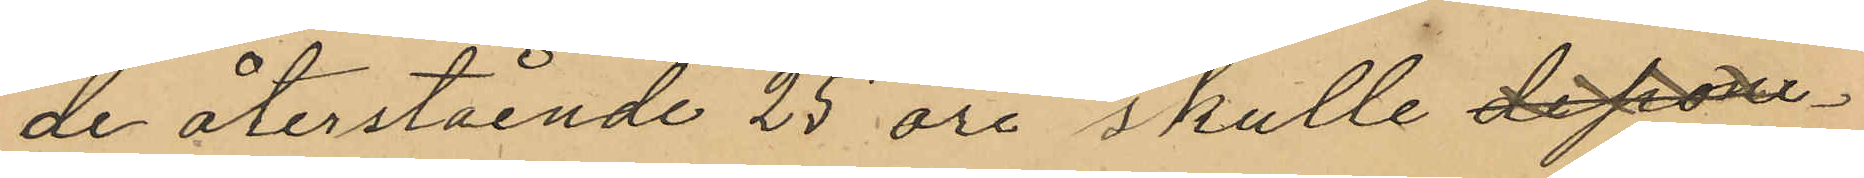de återstående 25 öre skulle depone¬
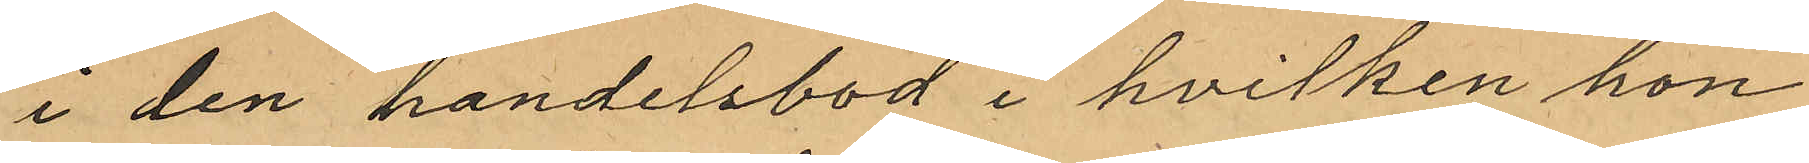i den handelsbod i hvilken hon
